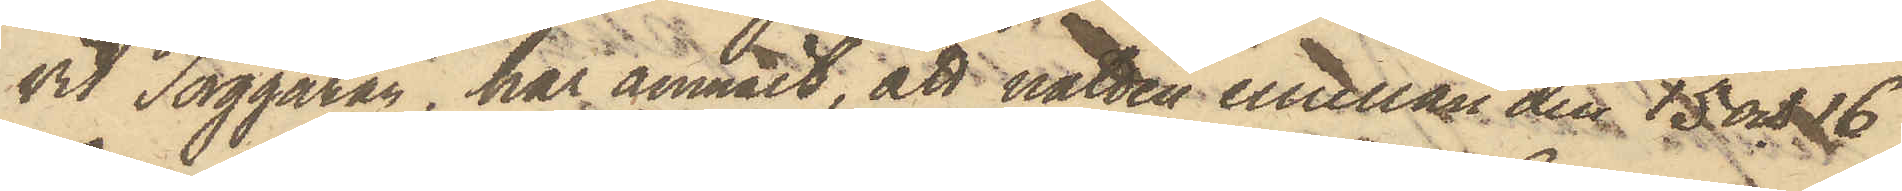vid Torggatan, har anmält, att natten emellan den 15 och 16
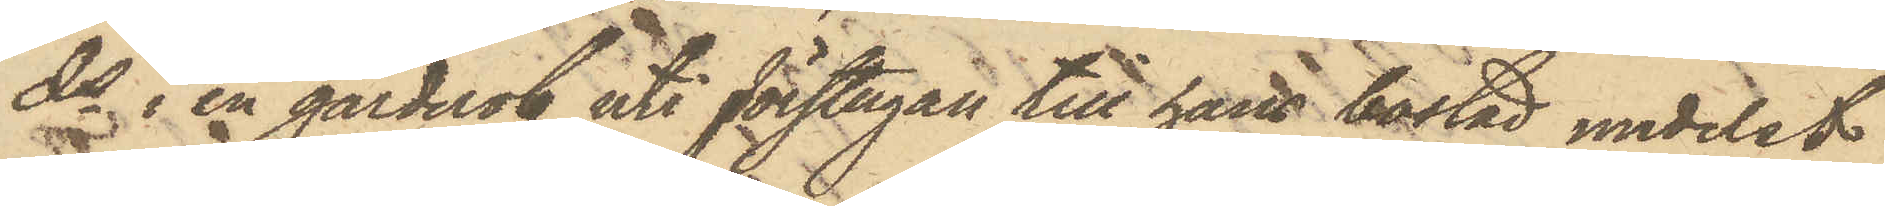ds i en garderob uti förstugan till hans bostad medelst
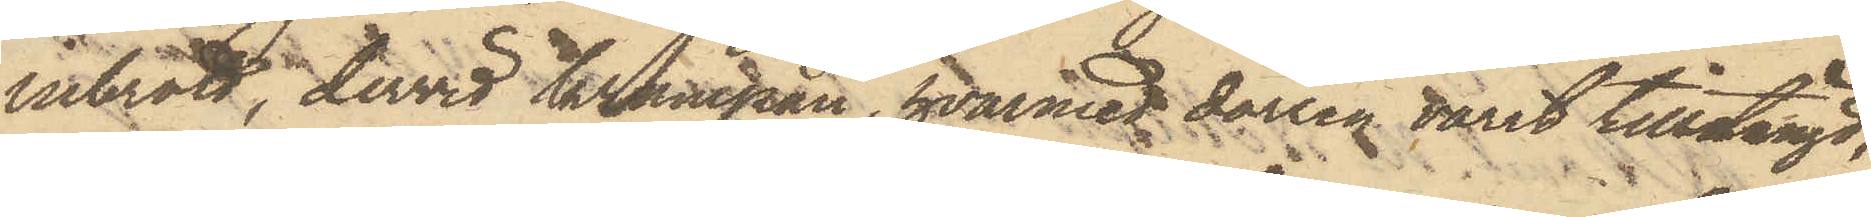inbrott, dervid krampan, hvarmed dörren varit tillstängd,
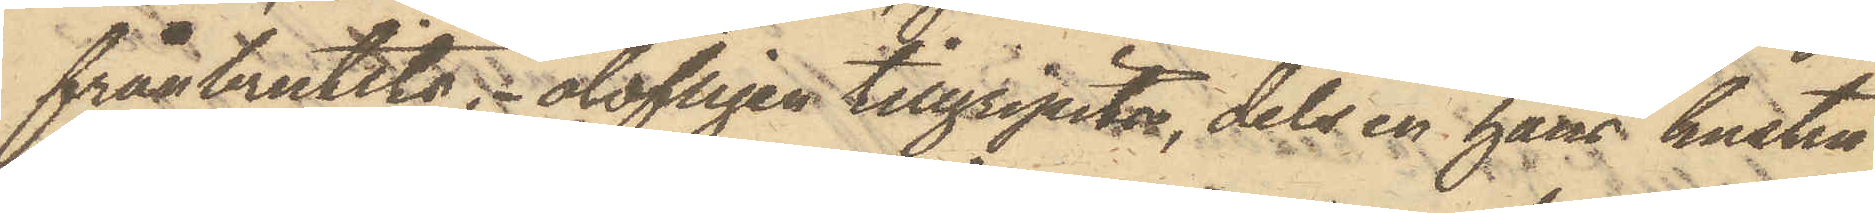frånbrutits, olofligen tillgripits, dels en hans hustru
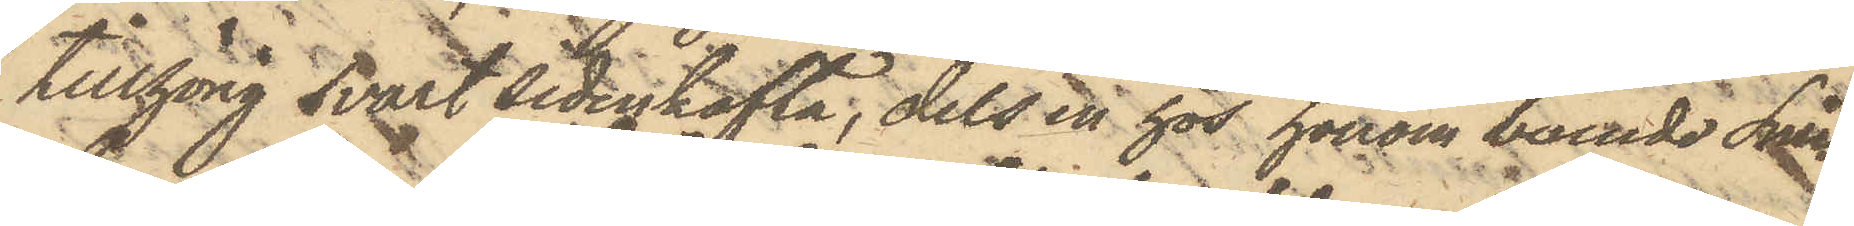tillhörig svart sidenkofta, dels en hos honom boende Snic¬
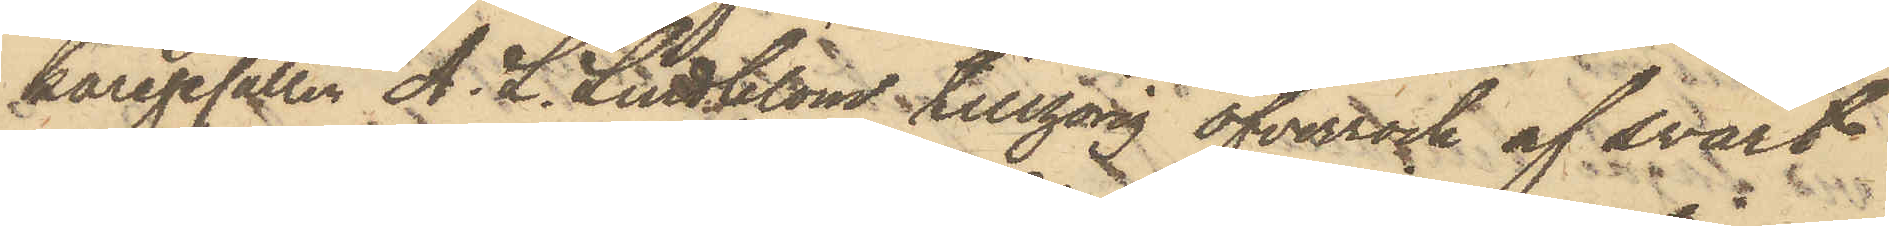karegesällen A. L. Lindblom tillhörig öfverrock af svart
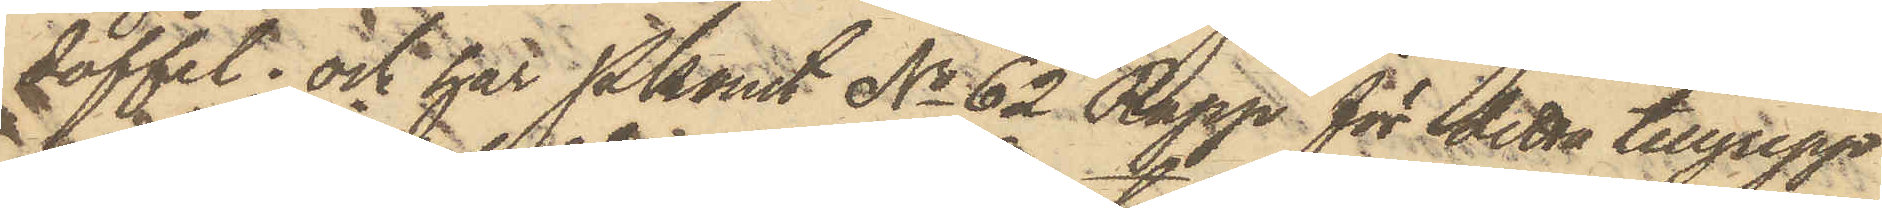doffel; och har Pkonst No 62 Rapp för detta tillgrepp
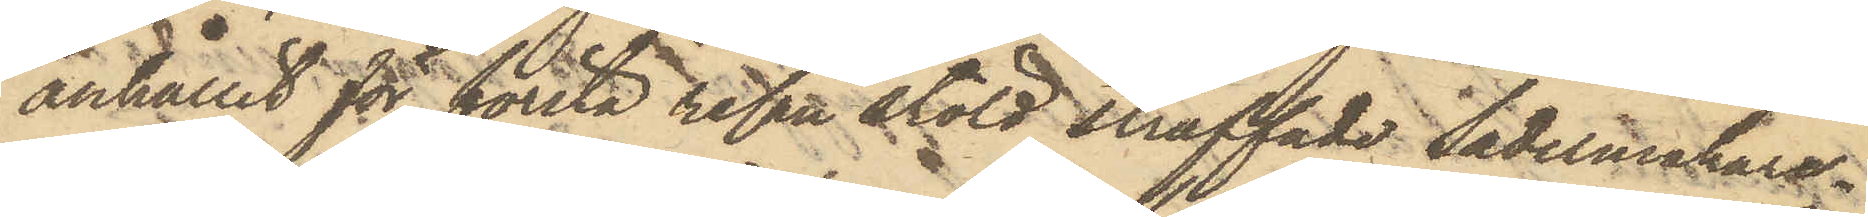anhållit för första resan stöld straffade Sadelmakare¬
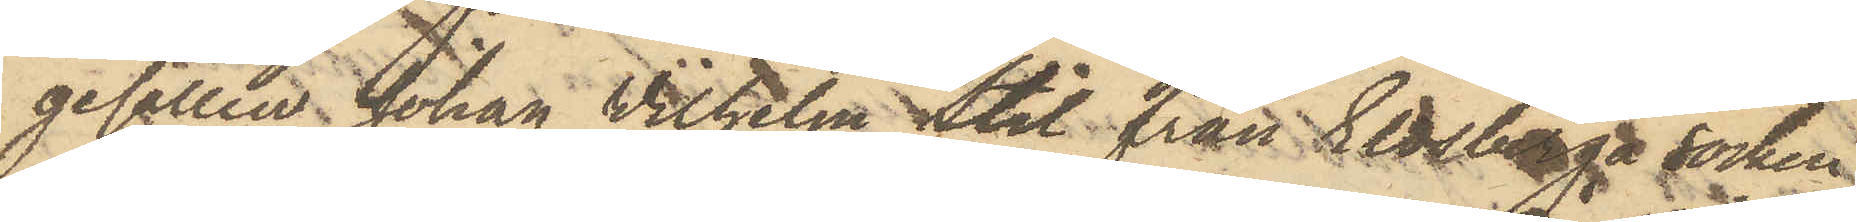gesällen Johan Vilhelm Stil från Eldsberga socken
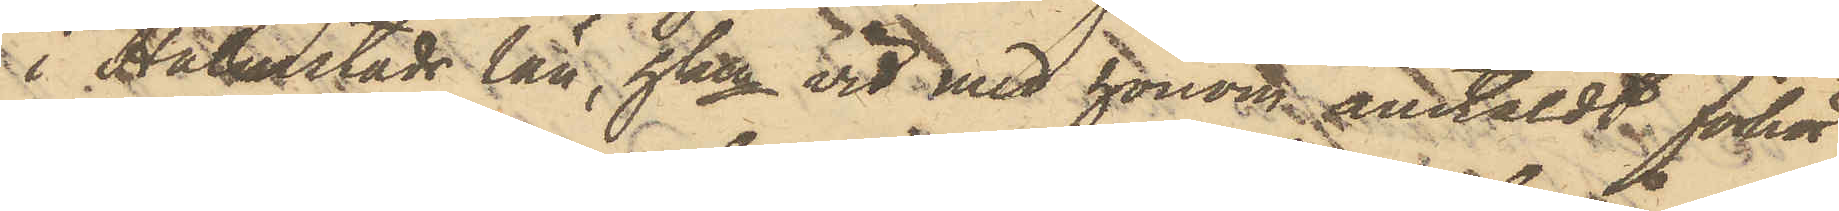i Halmstads län, hken vid med honom anstäldt förhör
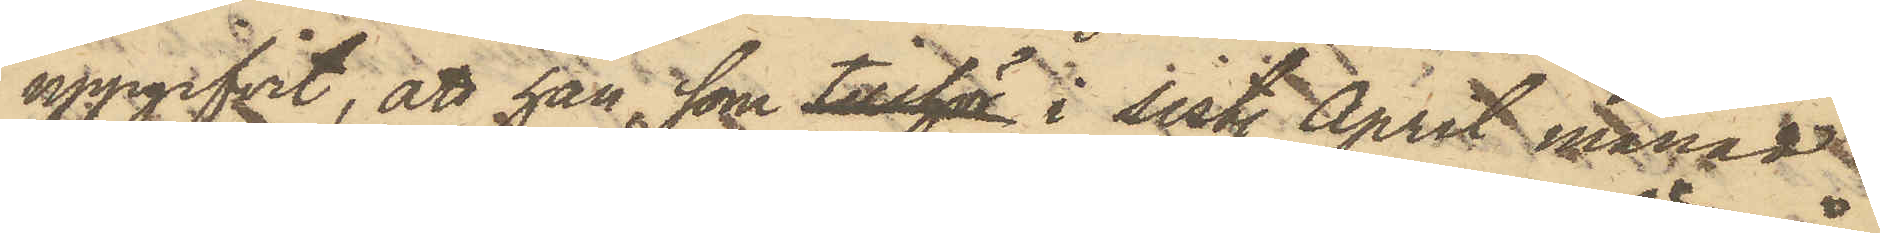uppgifvit, att han, som tillhör i sist. April månad
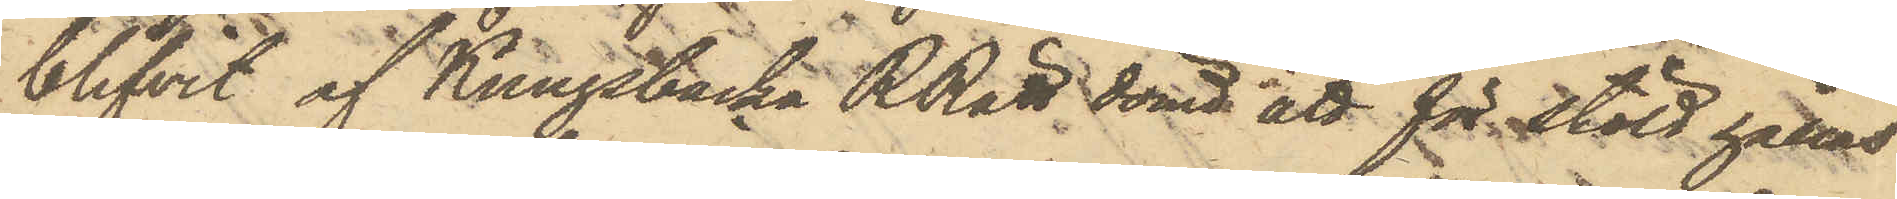blifvit af Kungsbacka RRätt dömd att för stöld hållas
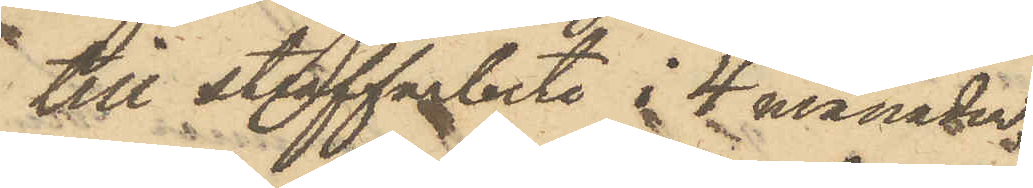till staffarbete i 4 månader,
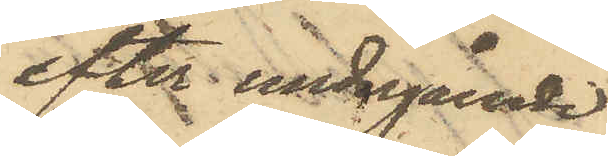efter undergående
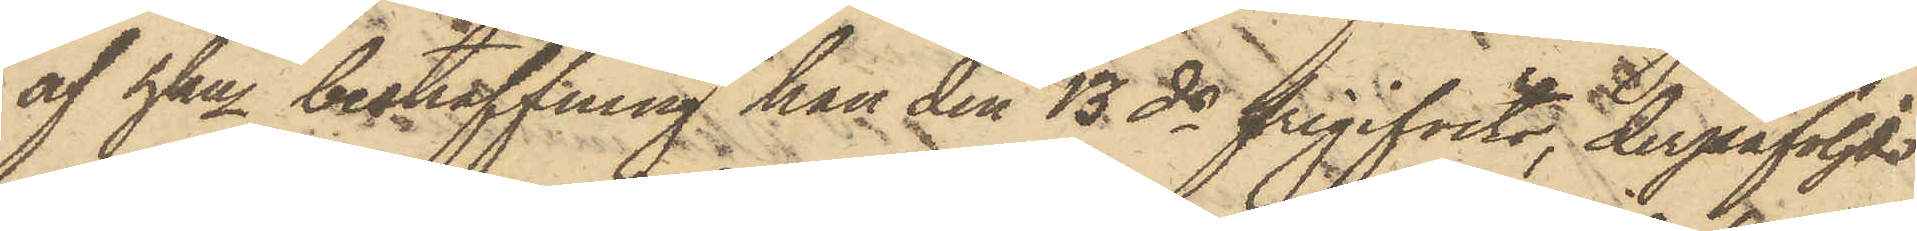af hken bestraffning han den 13 ds frigifvits, derpåföljde
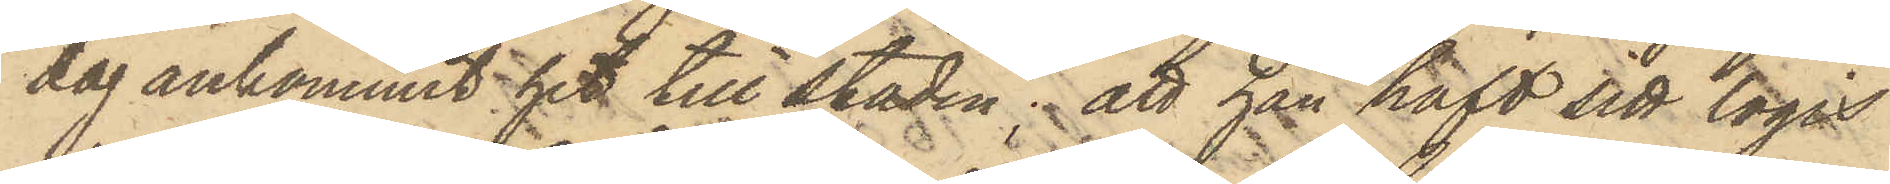dag ankommit hit till staden; att han haft sitt logis
